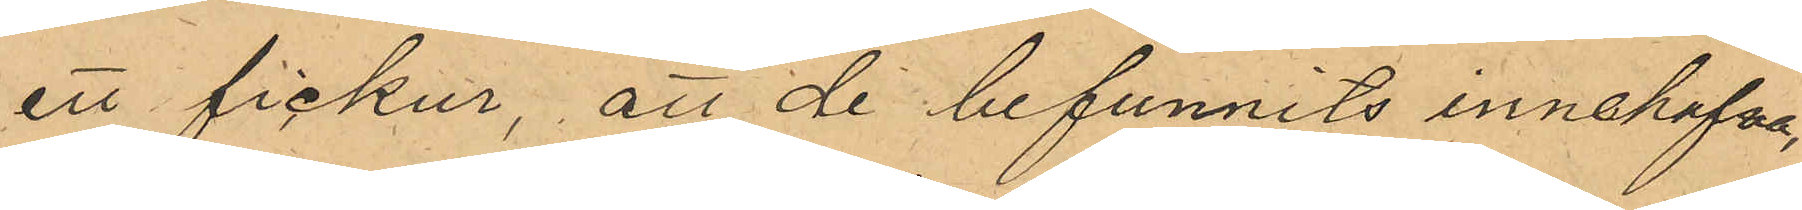ett fickur, att de funnits innehafva,
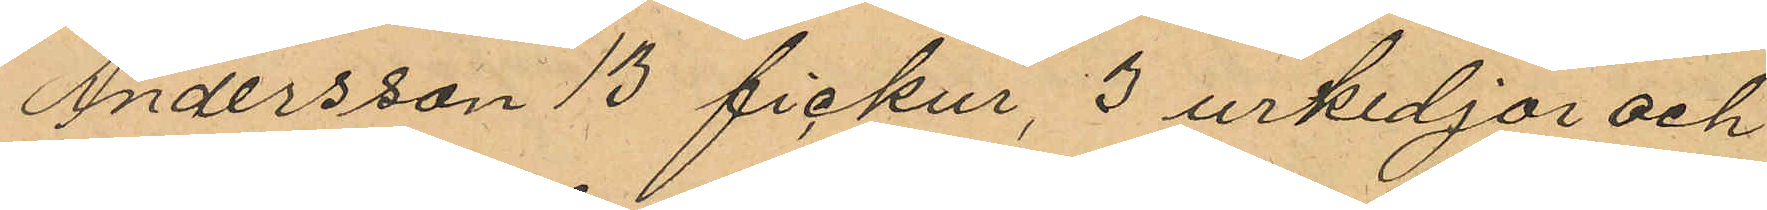Andersson 13 fickur, 3 urkedjor och
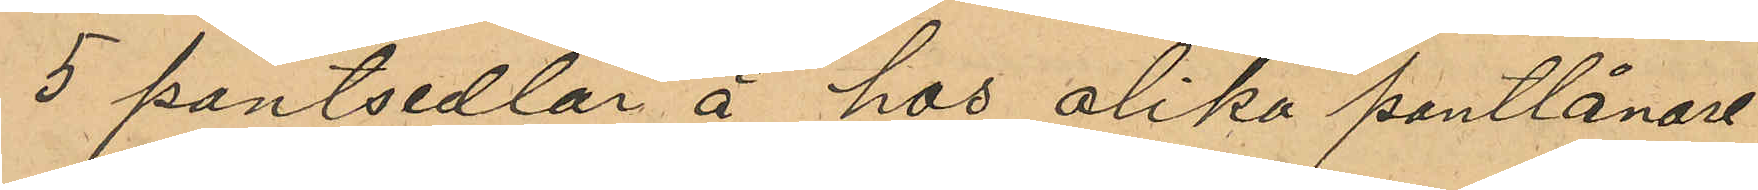5 pantsedlar å hos olika pantlånare
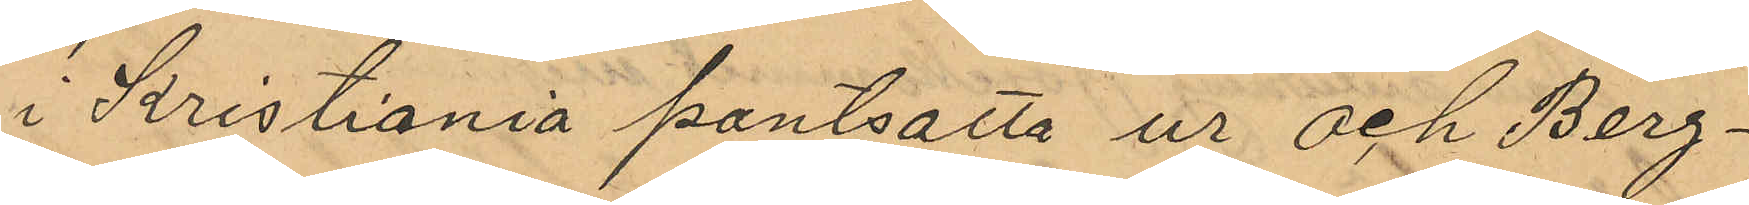i Kristiania pantsatta ur och Berg¬
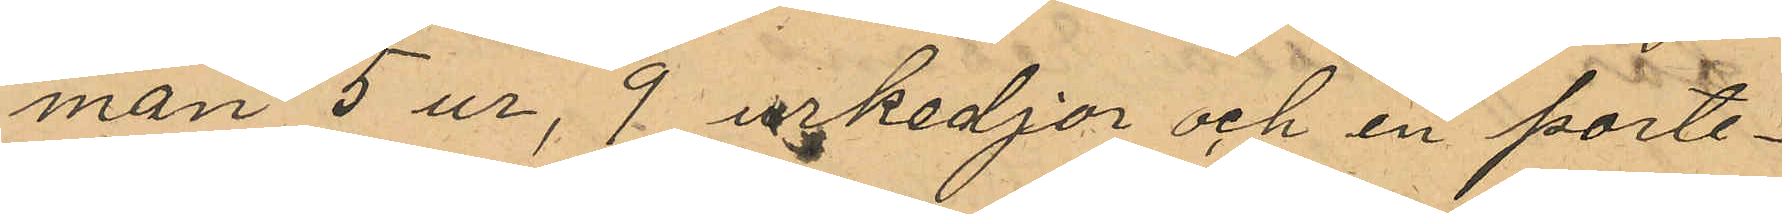man 5 ur, 9 urkedjor och en porte¬
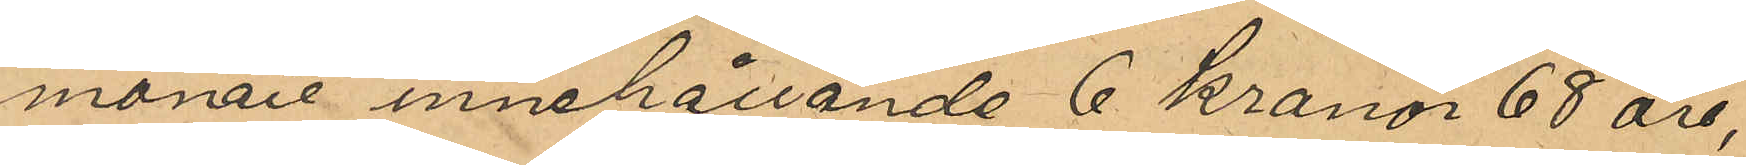monaie innehållande 6 Kronor 68 öre,
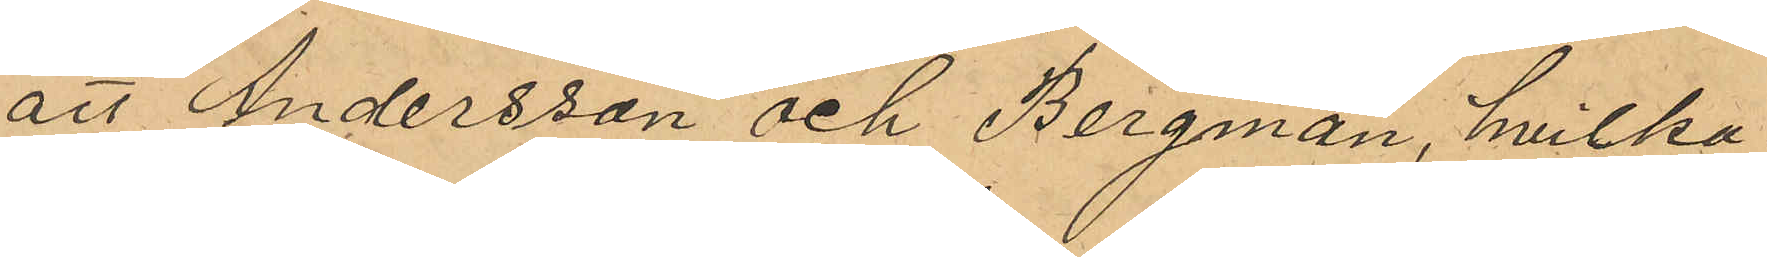att Andersson och Bergman, hvilka
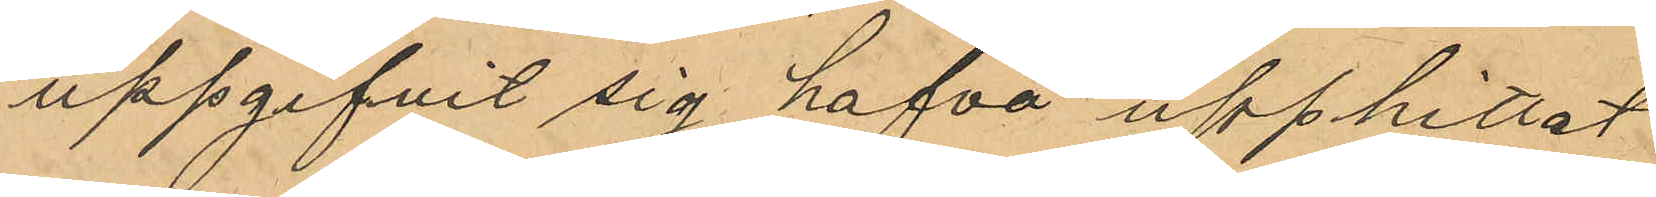uppgifvit sig hafva upphittat
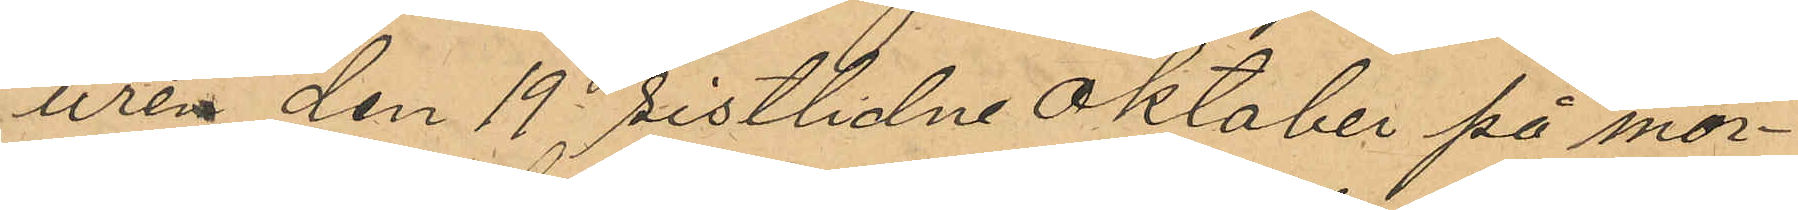uren den 19 sistlidne oktober på mor¬
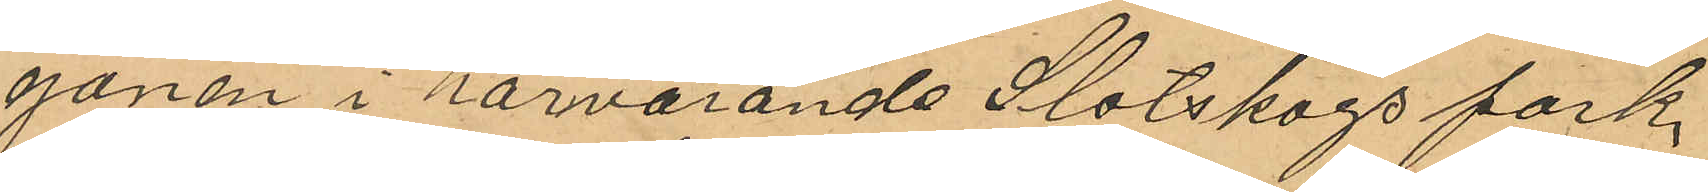gonen i härvarande Slotskogspark,
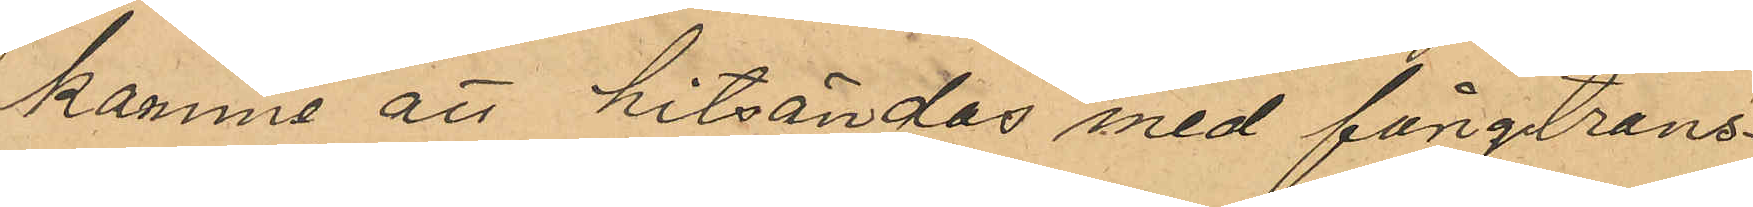komme att hitsändas med fångtrans¬
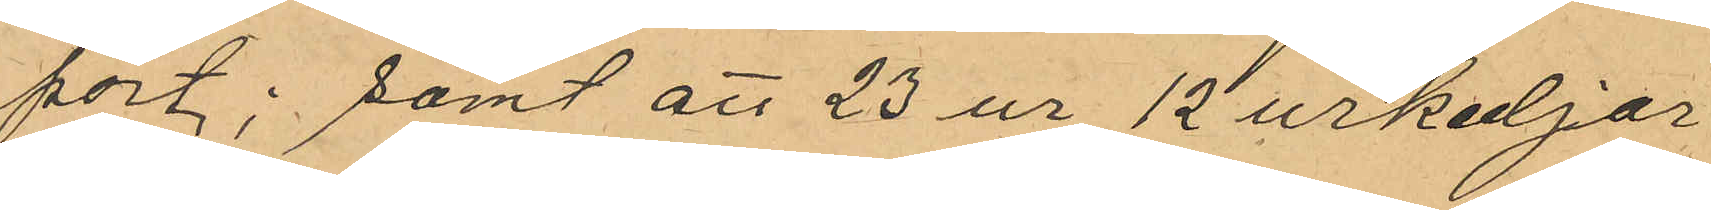port; samt att 23 ur 12 urkedjor
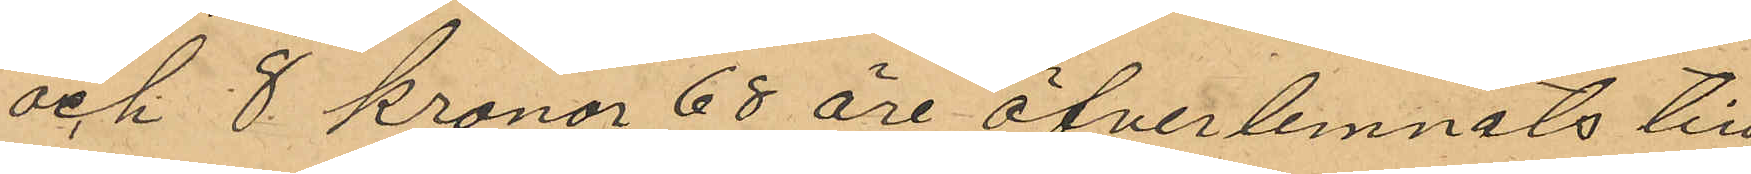och 8 Kronor 68 öre öfverlemnats till
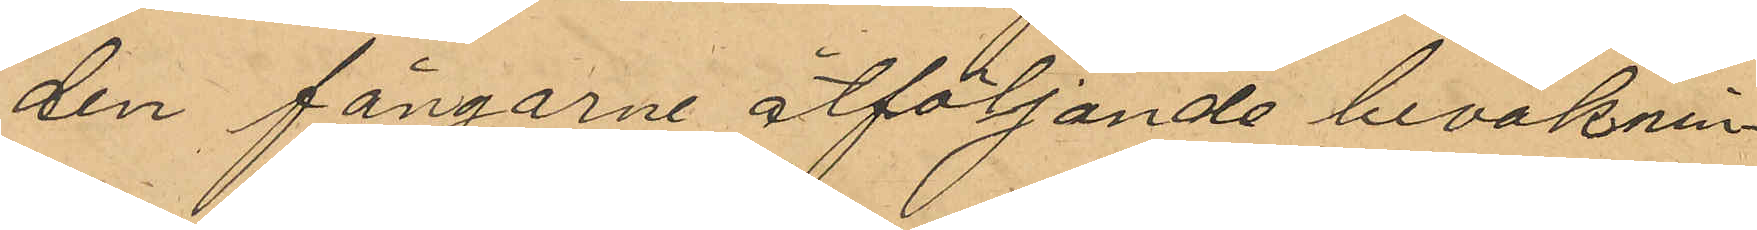den fångarne åtföljande bevaknin¬
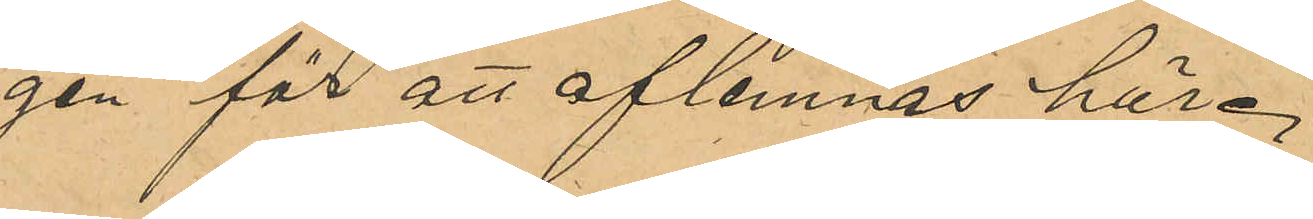gen att aflemnas här.
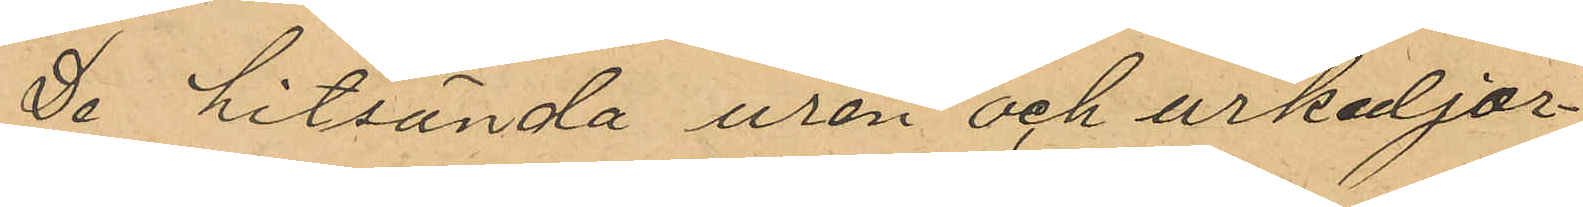De hitsända uren och urkedjor¬
